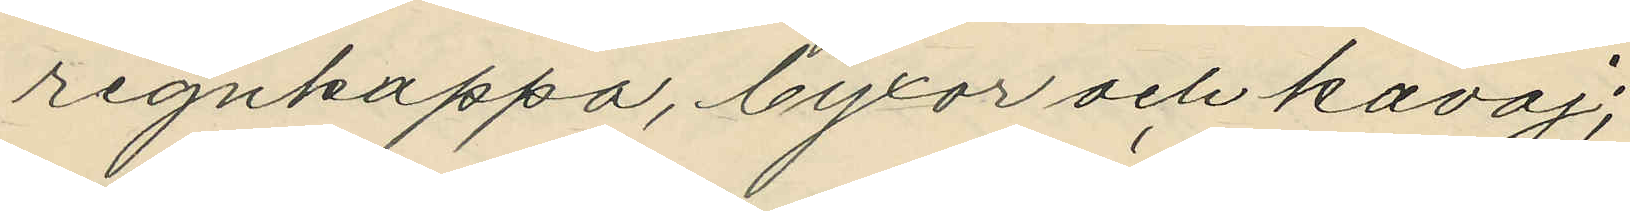regnkappa, byxor och kavaj;
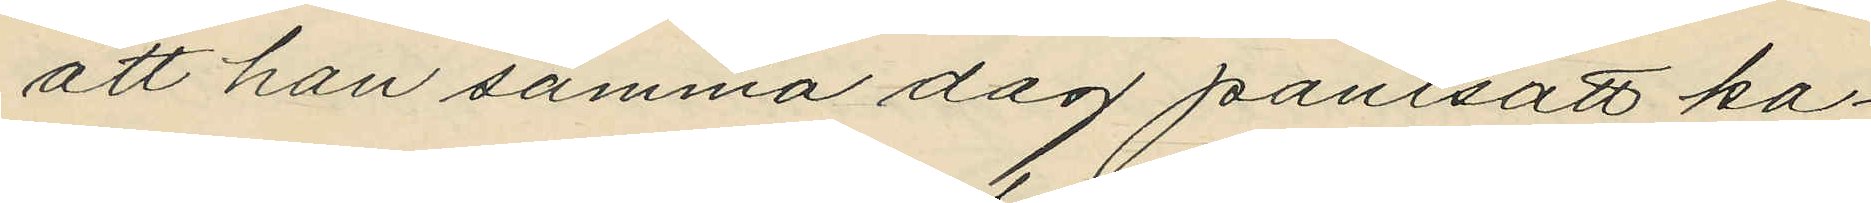att han samma dag pantsatt ka¬
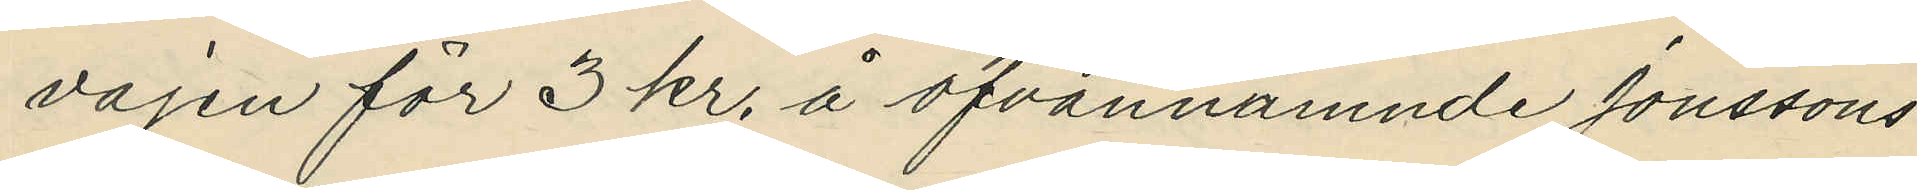vajen för 3 kr. å ofvannämnde Jonssons
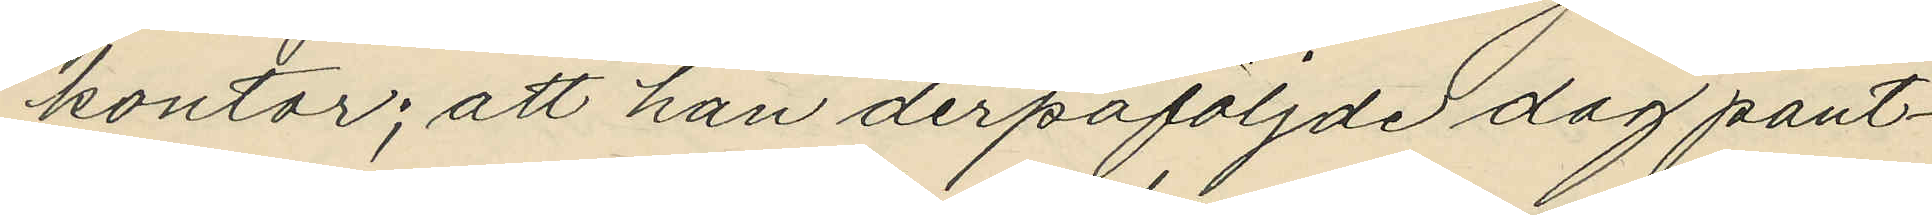kontor; att han derpåföljde dag pant¬
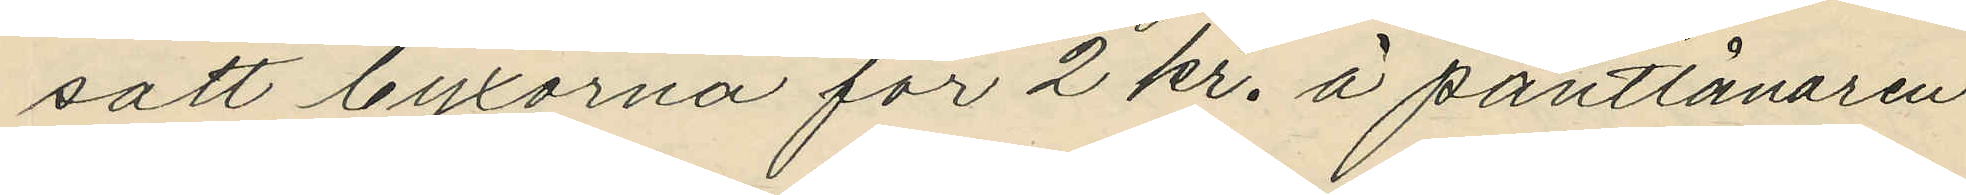satt byxorna för 2 kr. å pantlånaren
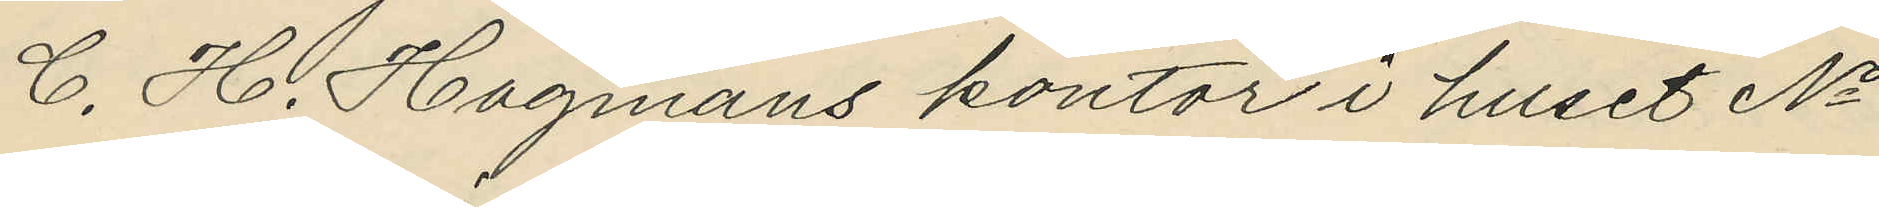C. H. Hagmans kontor i huset No
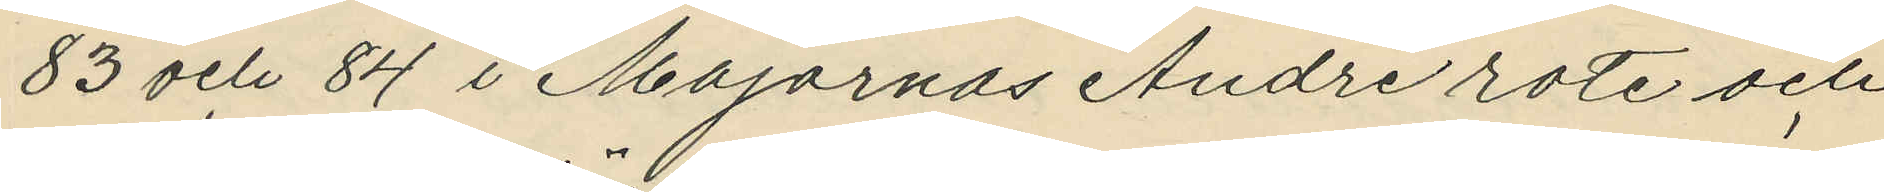83 och 84 i Majornas Andre rote och
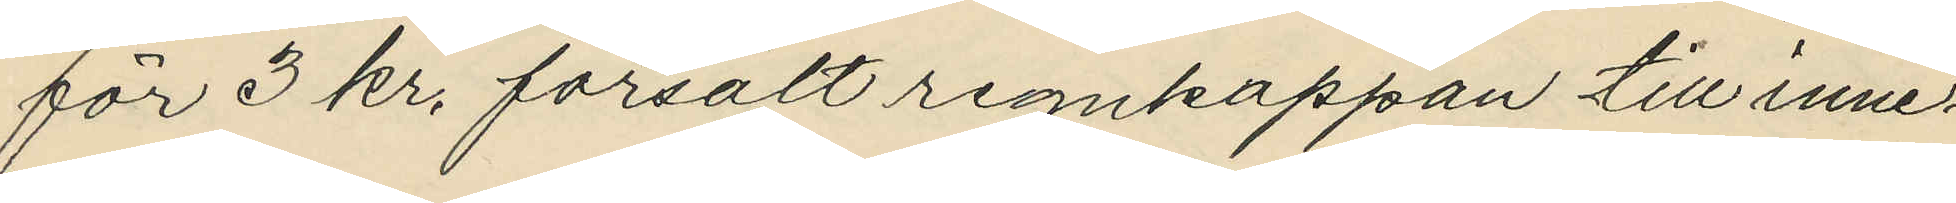för 3 kr. försålt regnkappan till inne¬
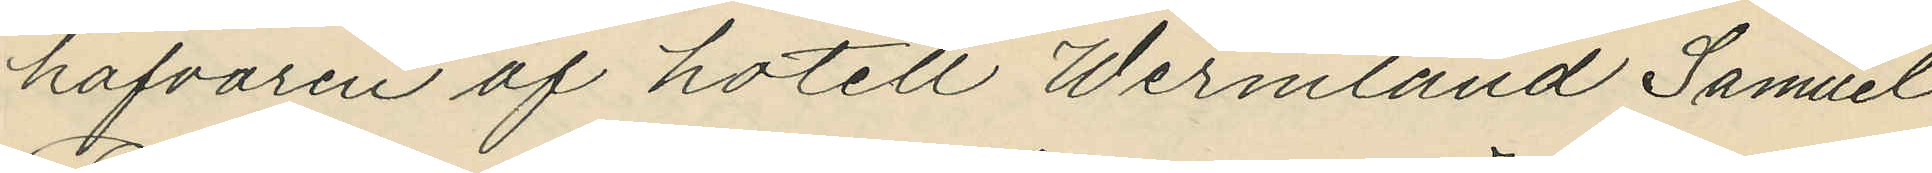hafvaren af hotell Wermland Samuel
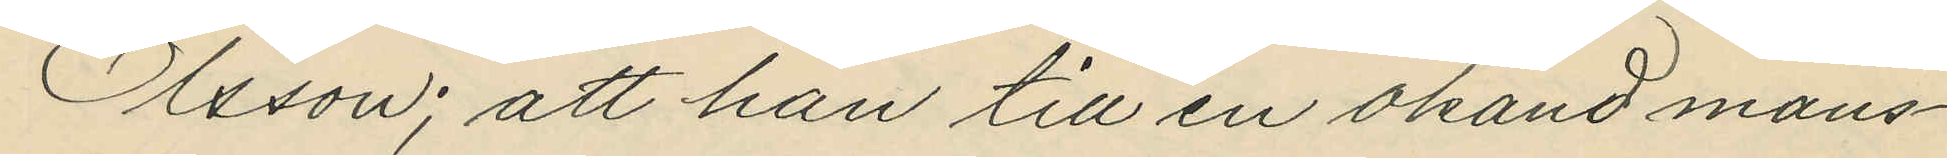Olsson; att han till en okänd mans¬
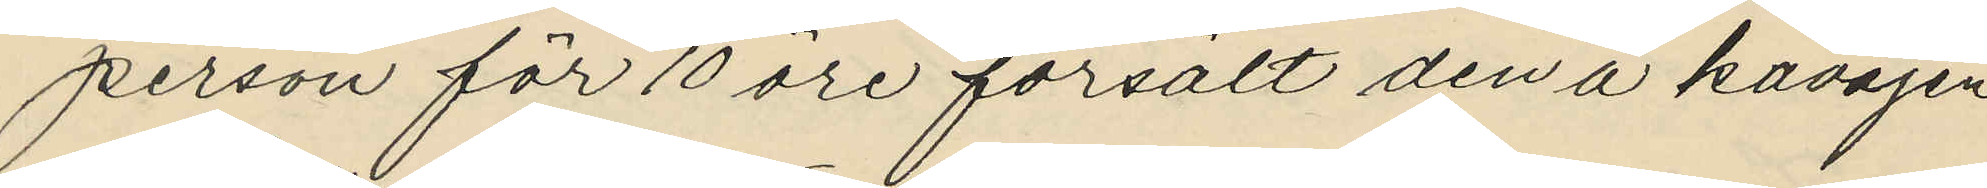person för 10 öre försålt den å kavajen
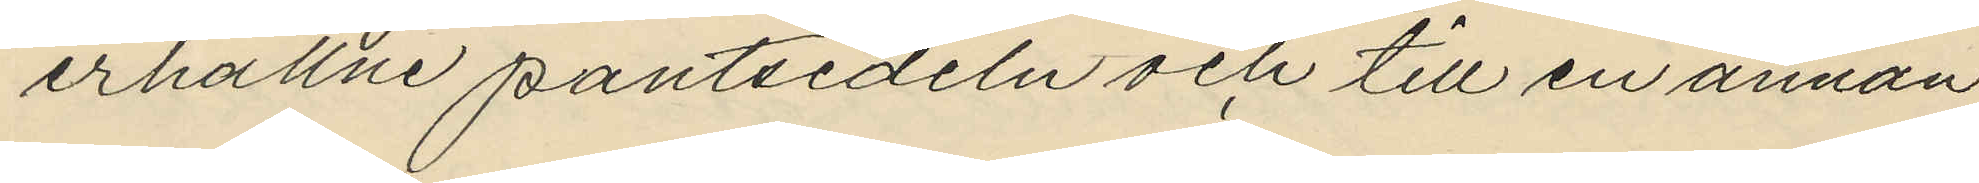erhållne pantsedeln och till en annan
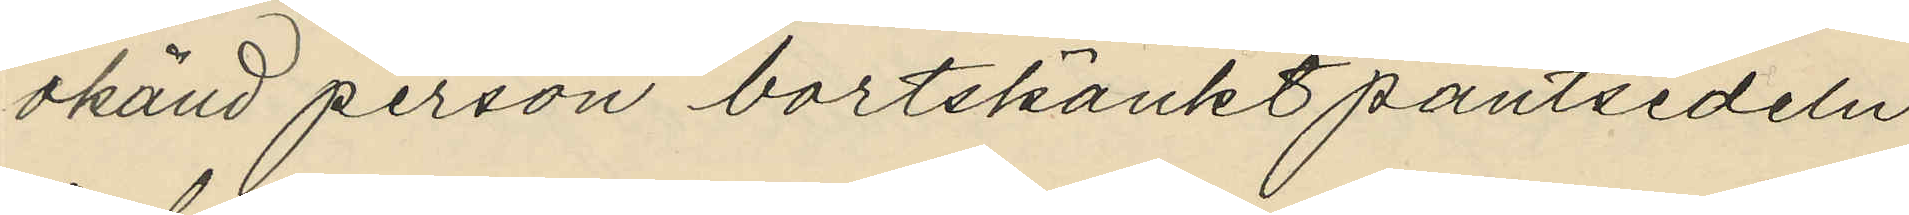okänd person bortskänkt pantsedeln
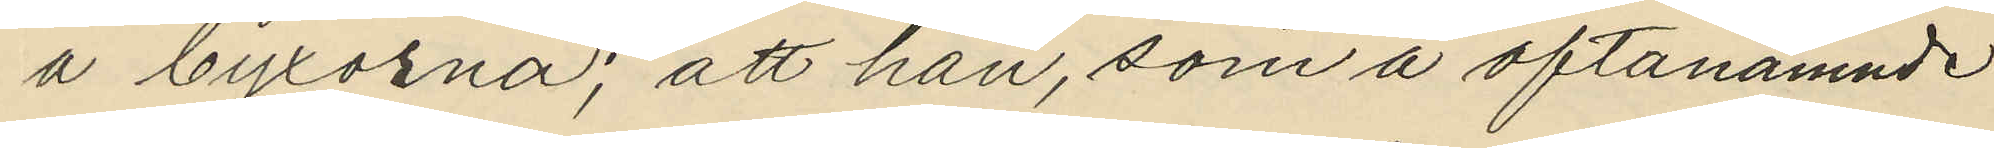å byxorna; att han, som å oftanämnde
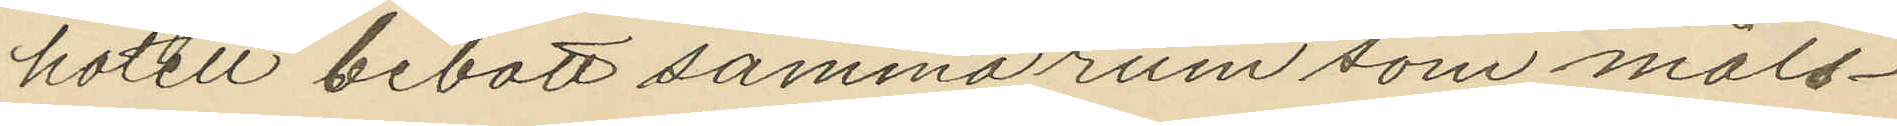hotell bebott samma rum som måls¬
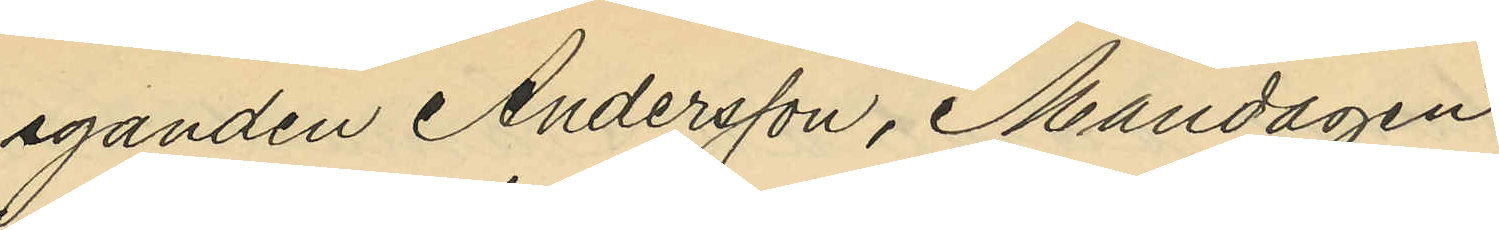eganden Andersson, Måndagen
